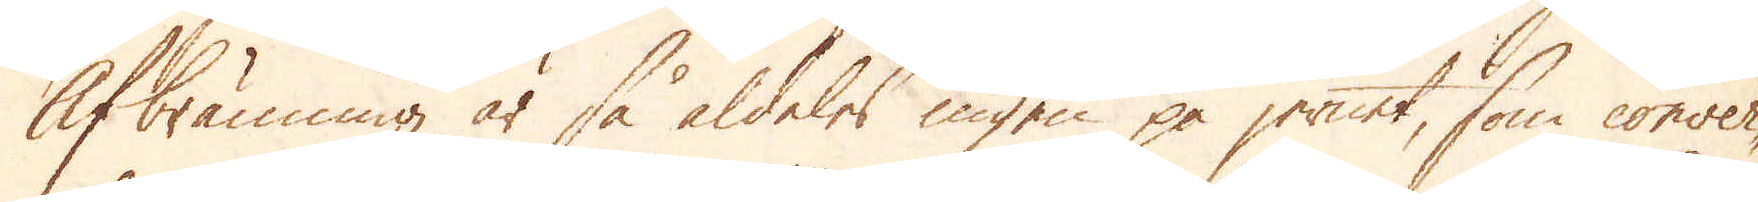Afbränning är så aldeles ingen på jernet, som conver-
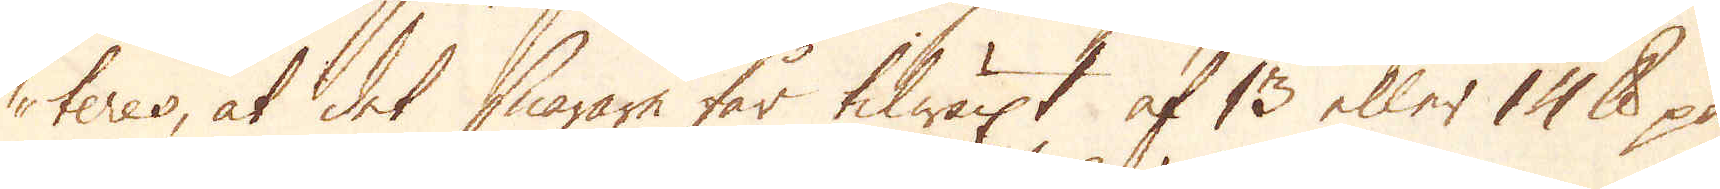teres, at det snarare får tilwäxt af 13 eller 10 skålpund på
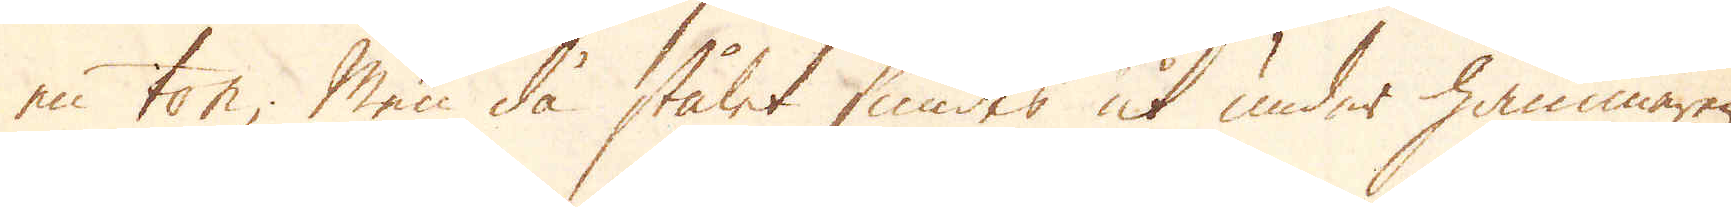en ton; Men då stålet smides ut under hammaren,
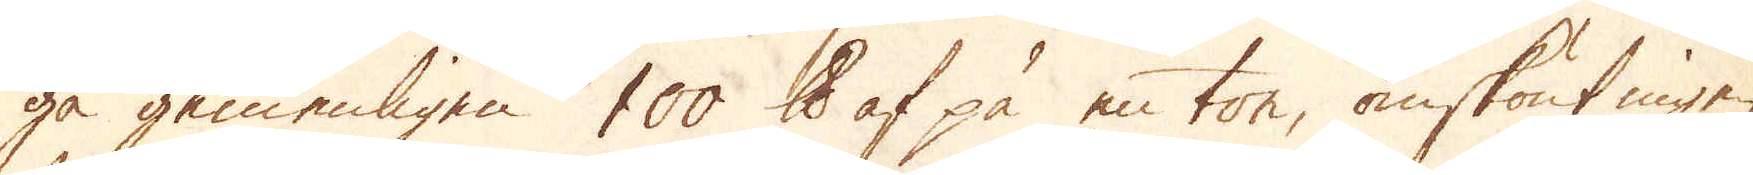gå gemenligen 100 skålpund af på en ton, omskönt ingen
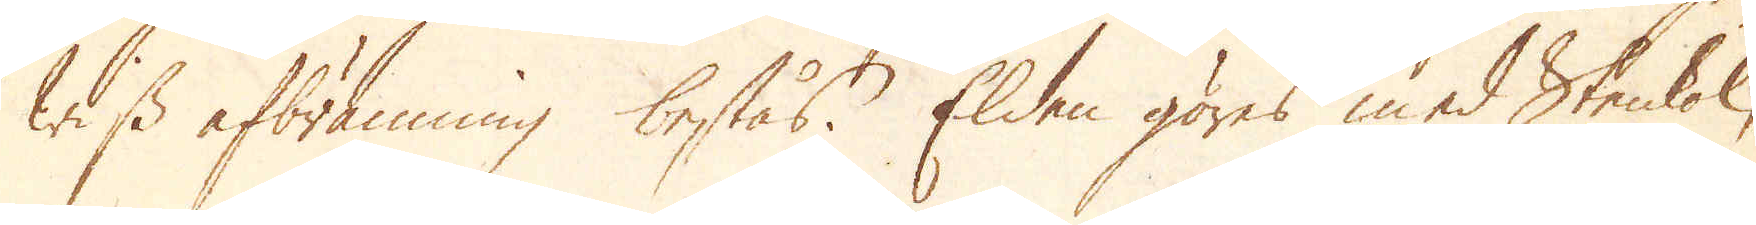wiss afbränning bestås. Elden göres med Stenkol,
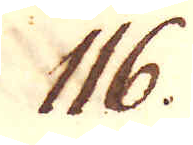116.
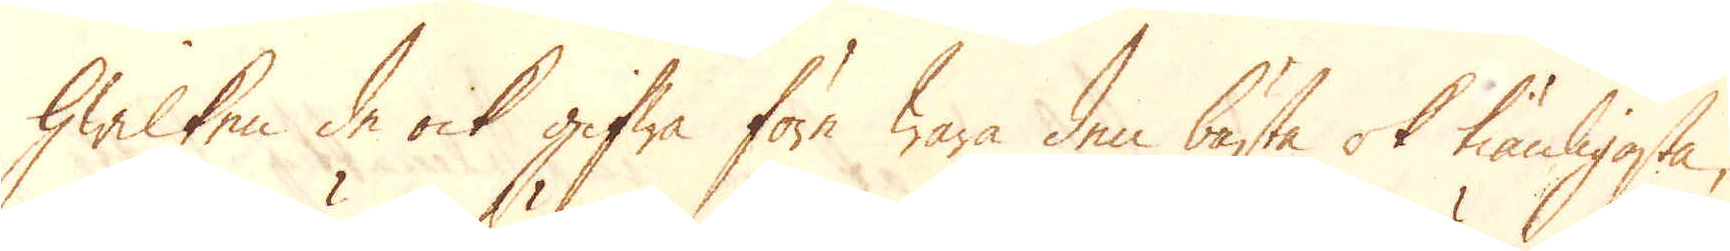hwilken de ock gifwa före wara den bästa ok tiänligaste,
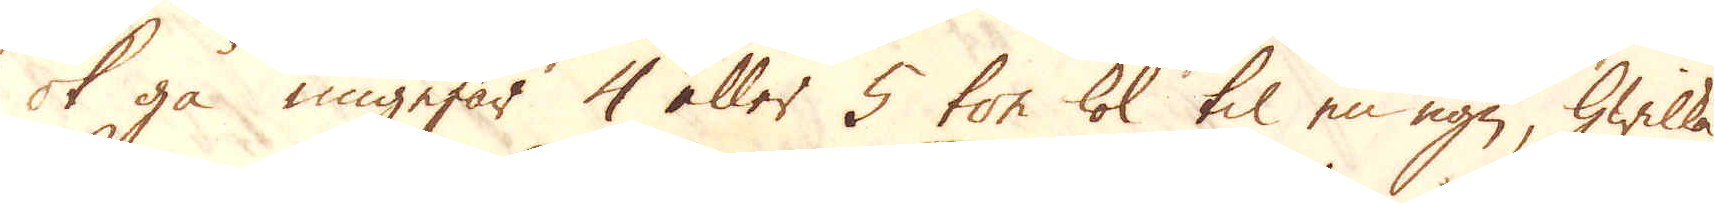ok gå ungefär 4 eller 5 ton kol til en ugn, hwilka
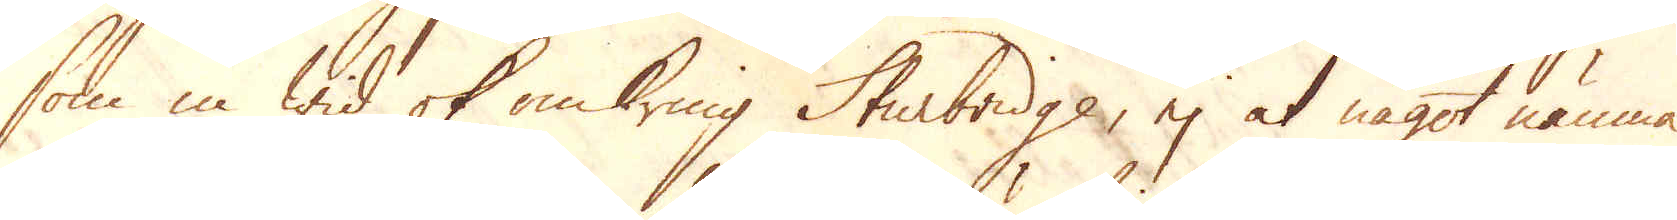som in wid ok omkring Sturbridge, ej at något nämna
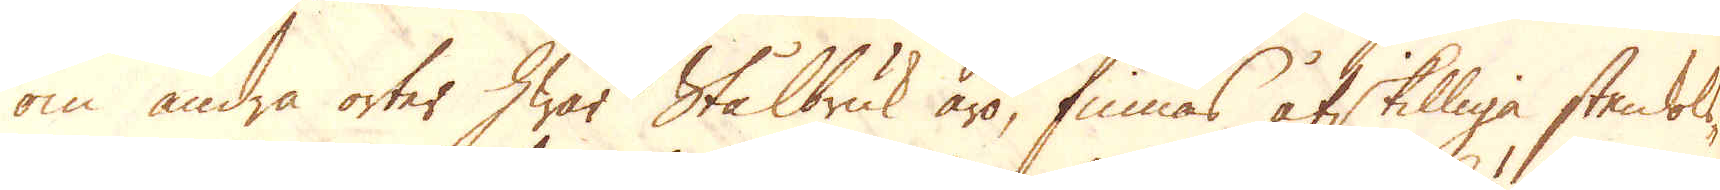om andra orter hwar Stålbruk äro, finnas åtskilliga stenkols-
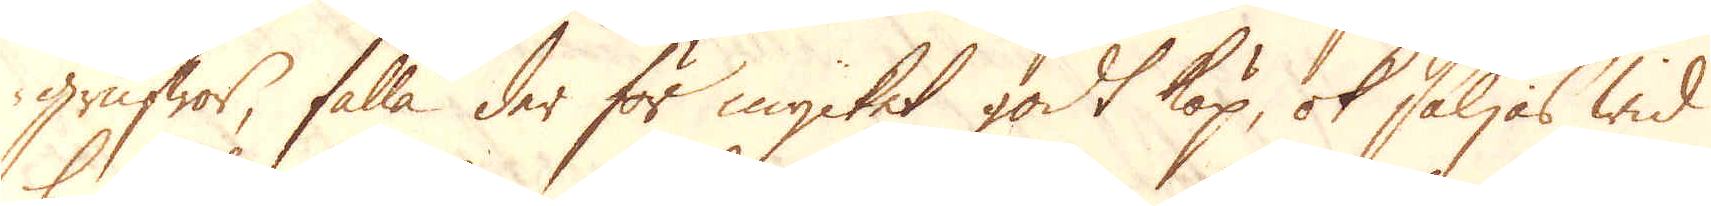grufwor, falla der för mycket godt köp, ok säljas wid
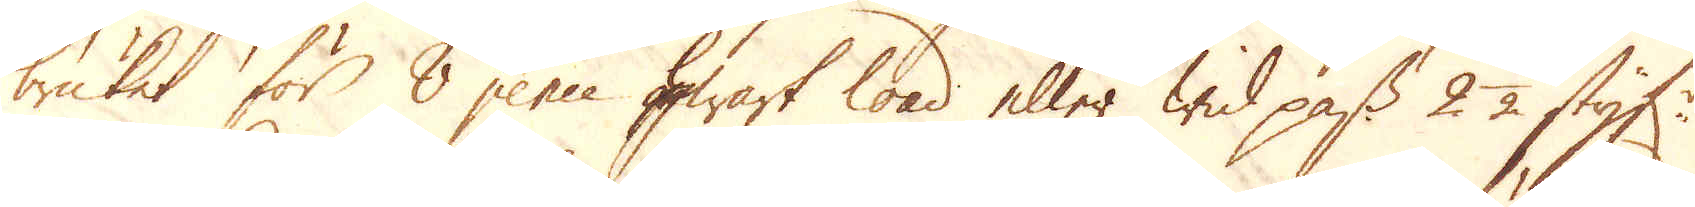bruket för 8 pence hwart load eller wid pass 2 1/2 styf:r
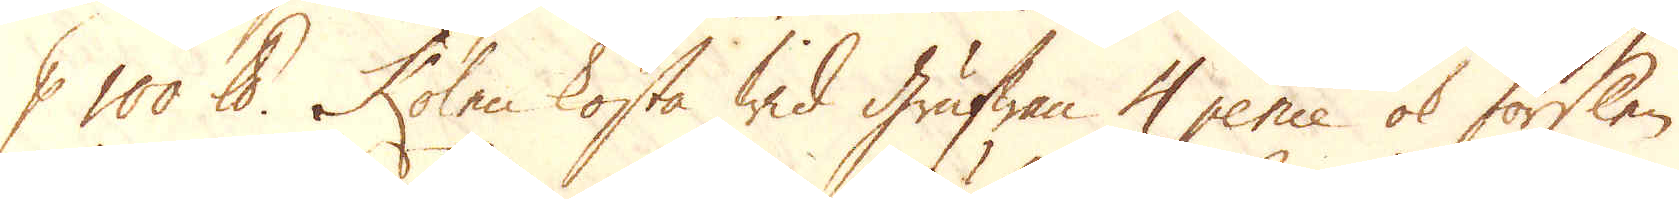p 100 skålpund. Kolen kosta wid Grufwan 4 pence ok förslen
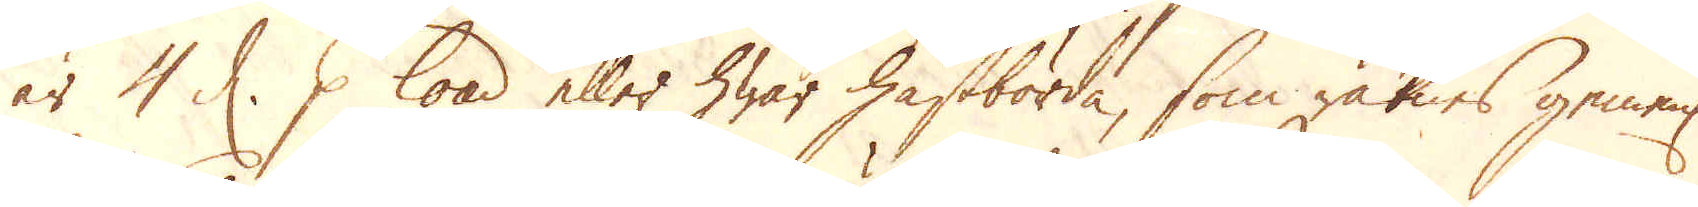är 4 d. p load eller hwar hästbörda, som räknes gemenl:
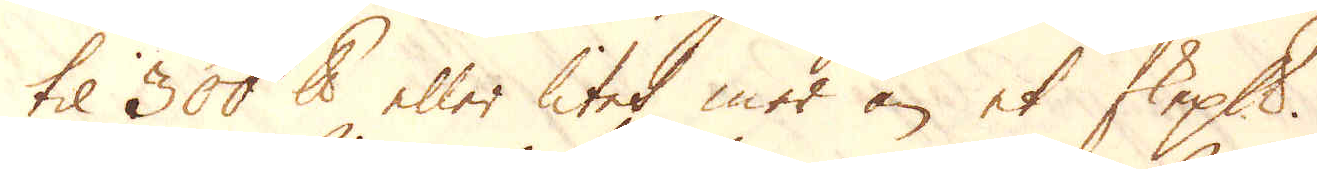til 300 skålpund eller litet mer än et skeppund.
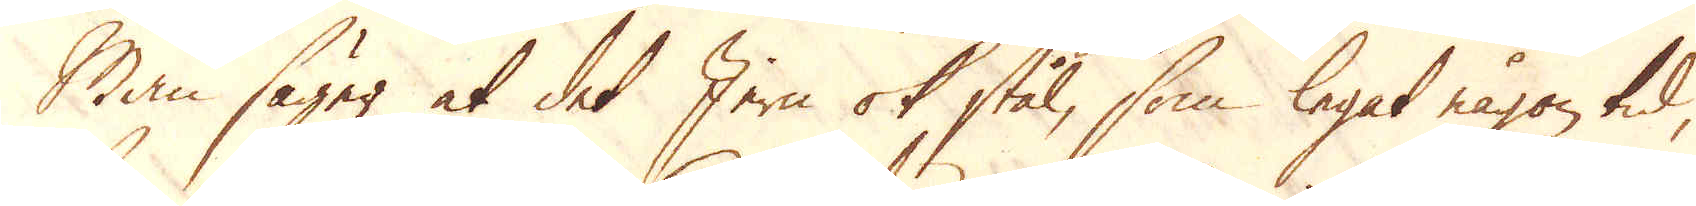Man säger at det Jern ok stål, som legat någon tid,
